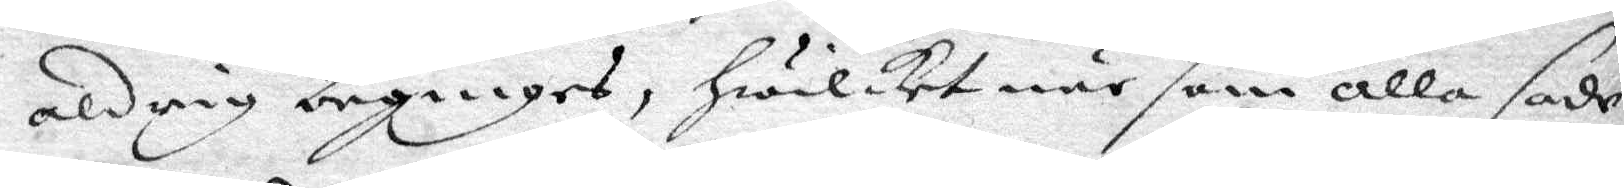aldrig beginges, hwilket när som alla sade
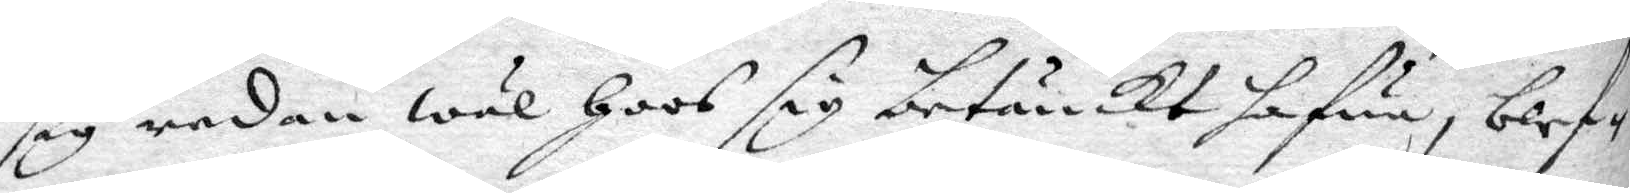sig redan wäl hoos sig betänckt hafwa, blef¬
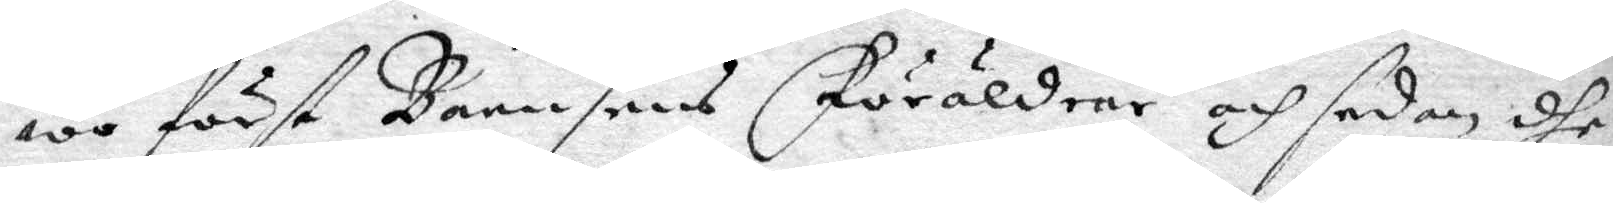we först Barnsens Föräldrar och sedan dhe
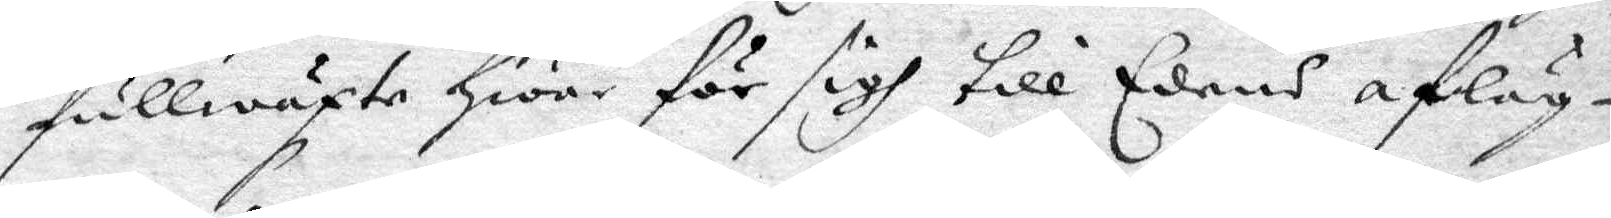fullwäxta hwar för sigh till Edens afläg¬
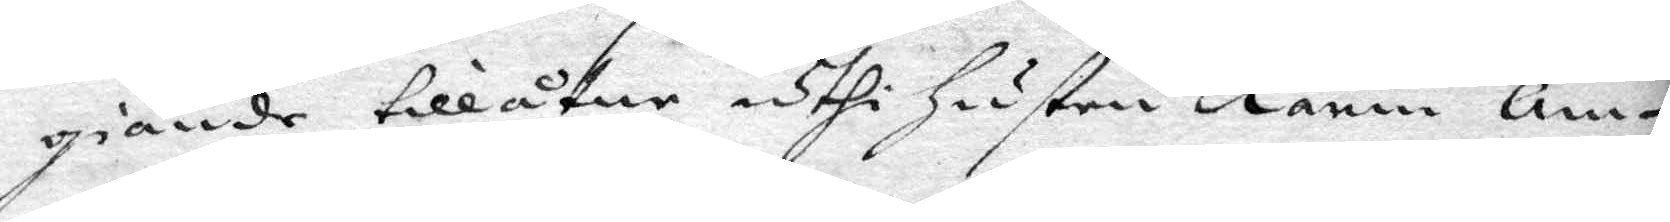giande tillåtne uthi hustru Karin Am¬
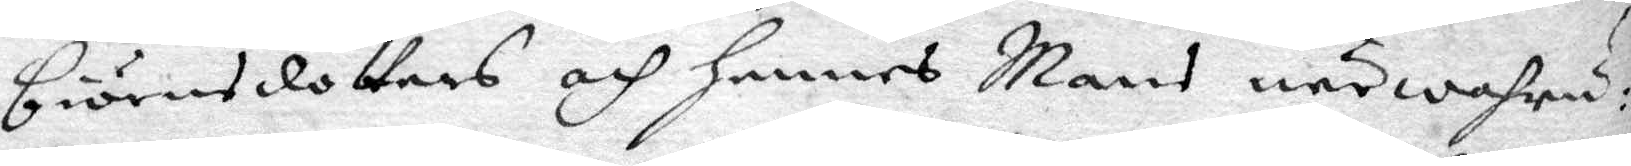biörnsdotters och hennes Mans närwahru:
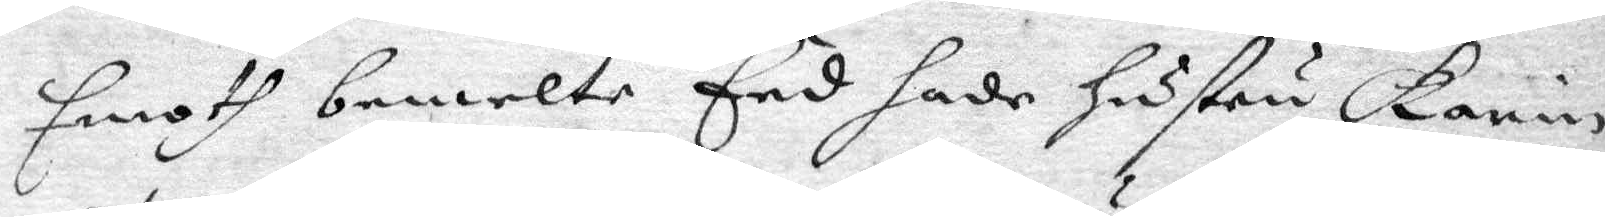Emoth bemelte Eed hade hustru Karin
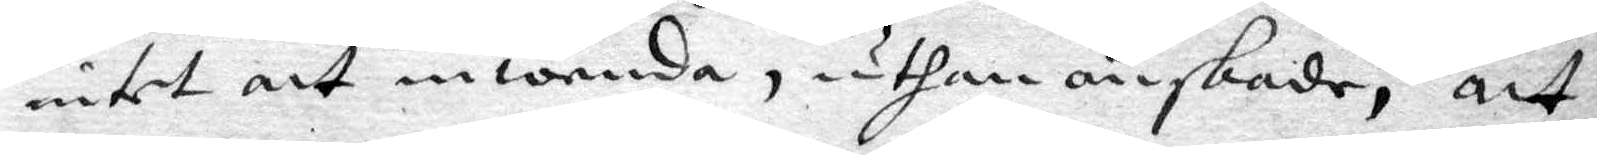intet att inwända, uthan önskade, att
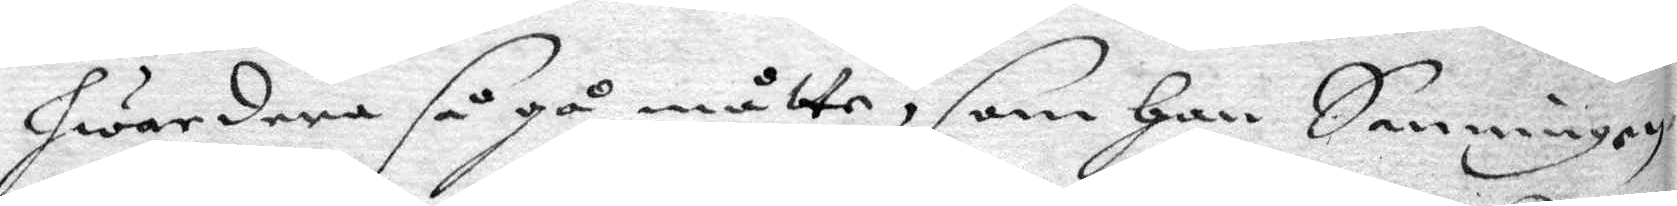hwardera så gå måtte, som hon Sanningen
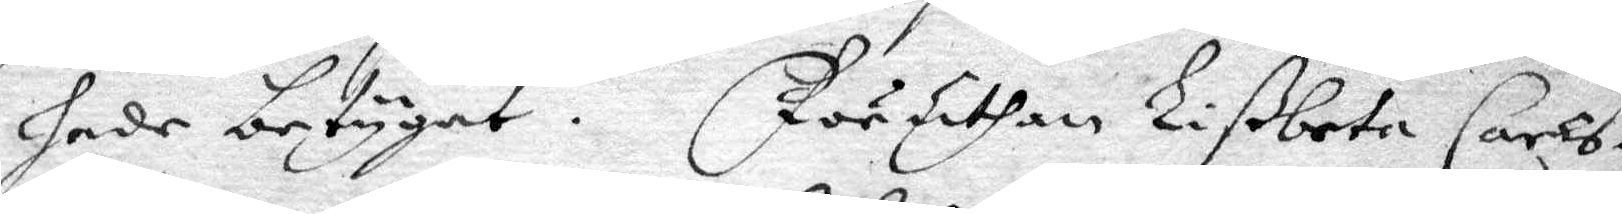hade betygat. Föruthan Lißbeta Carls¬
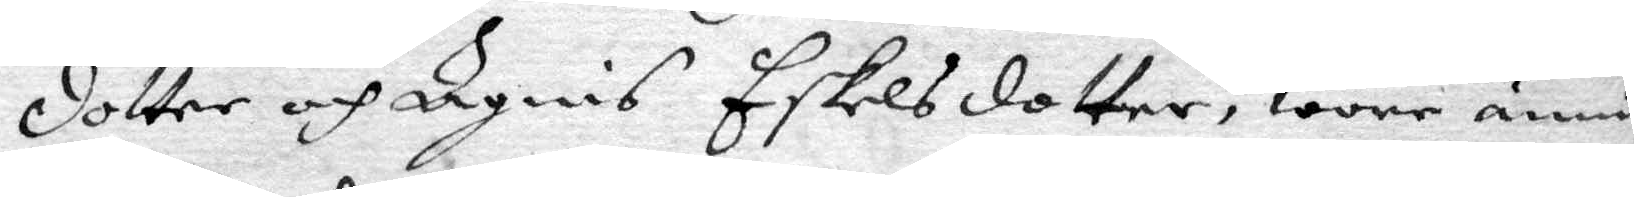dotter och Ingris Eskelsdoter, wore ännu
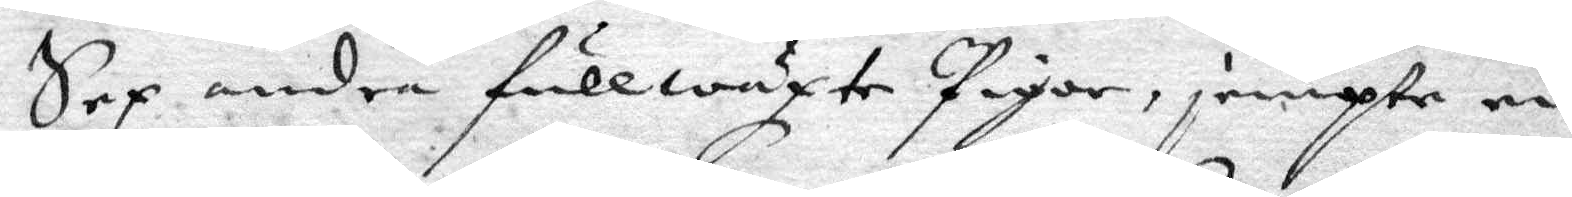Sex andre fullwäxte Pigor, jempte en
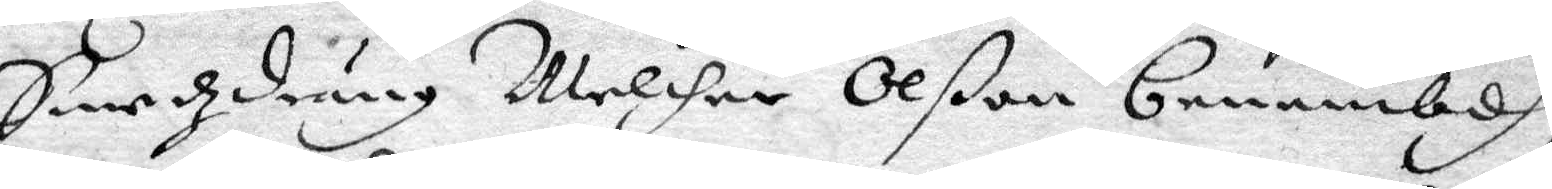Smedzdräng Melcher Olßon benembdh,
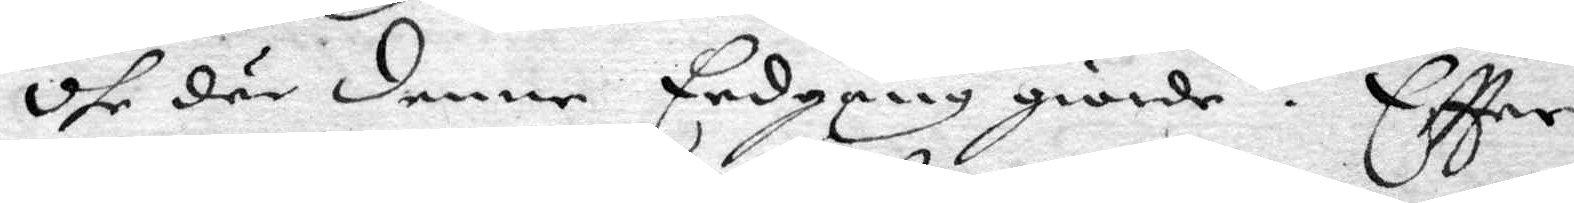dhe där denne Eedgången giorde. Eftter
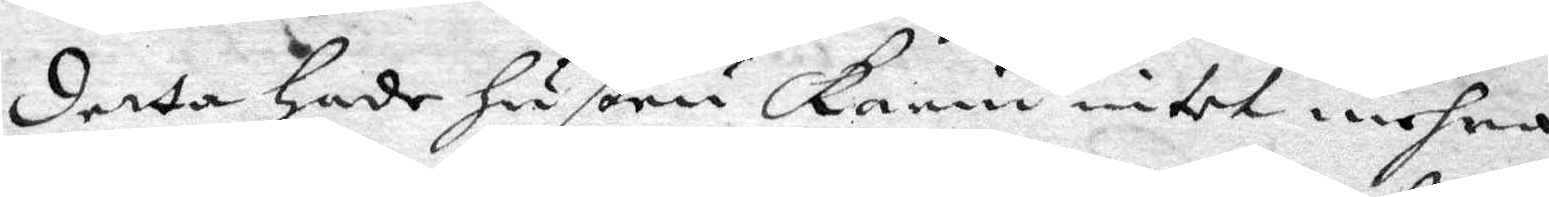detta hade hustru Karin intet mehra
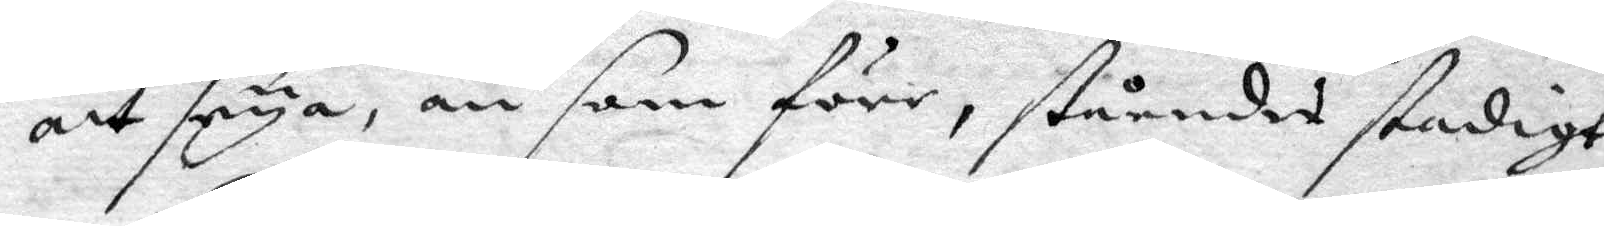att seya, än som förr, ståendes stadigt
